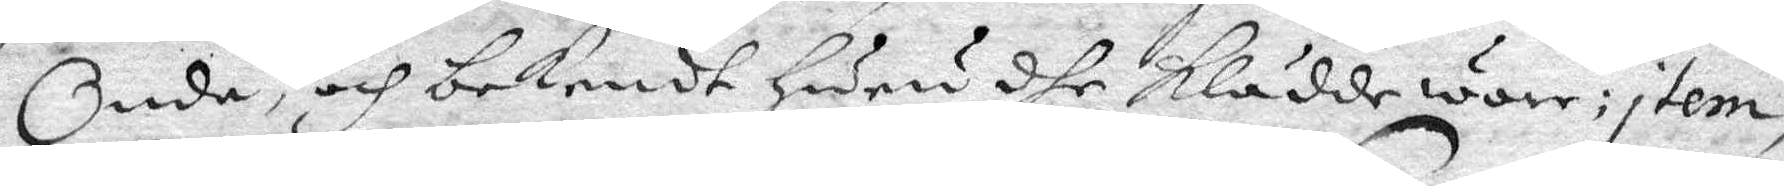Onde, och nekendt Huru dhe klädde ware; Item,
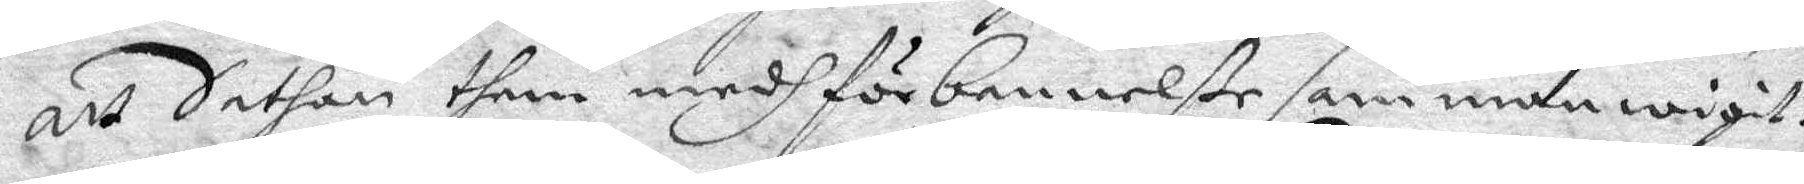att Sathan them medh förbannelße sammanwigit?
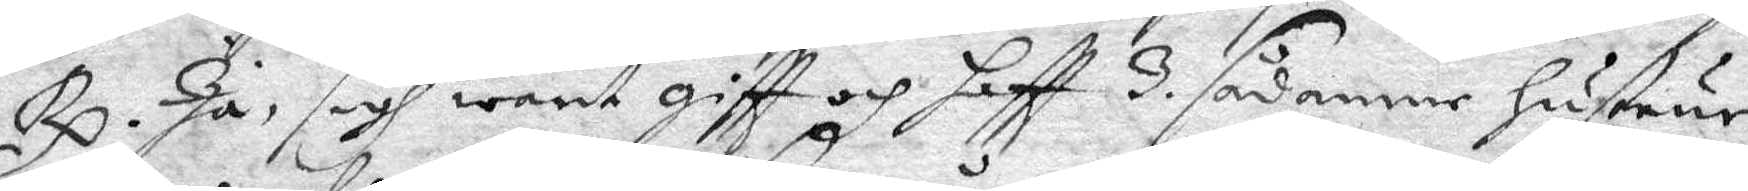Rp. Ja, sigh warit giftt och haftt 3. sådanne Hustrur,
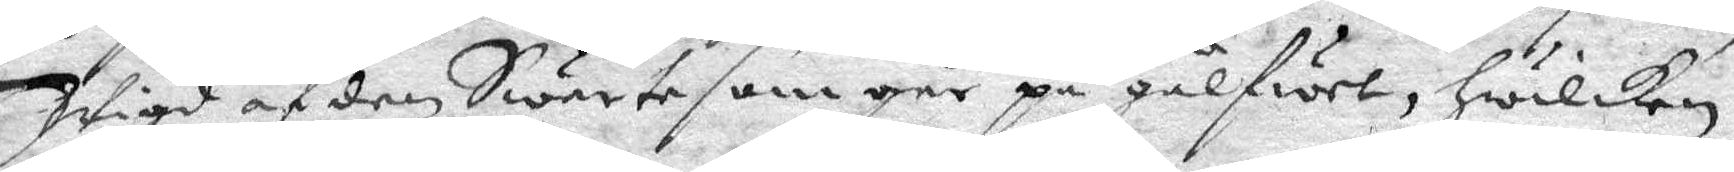Wigd af den Swarte som går på gålfwet, hwilken
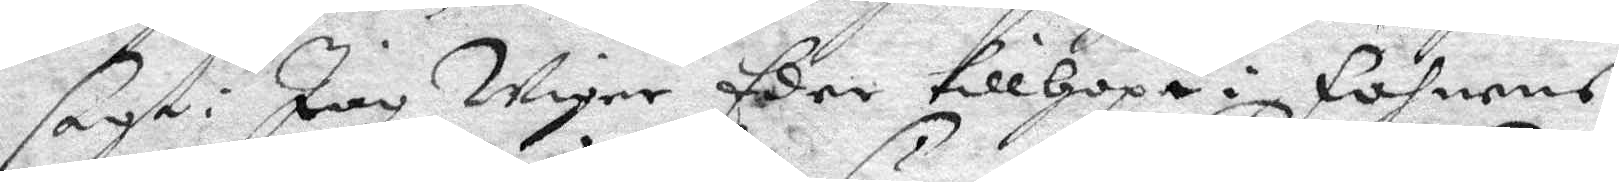sagt: jag Wiger Eder tillhopa i fanens
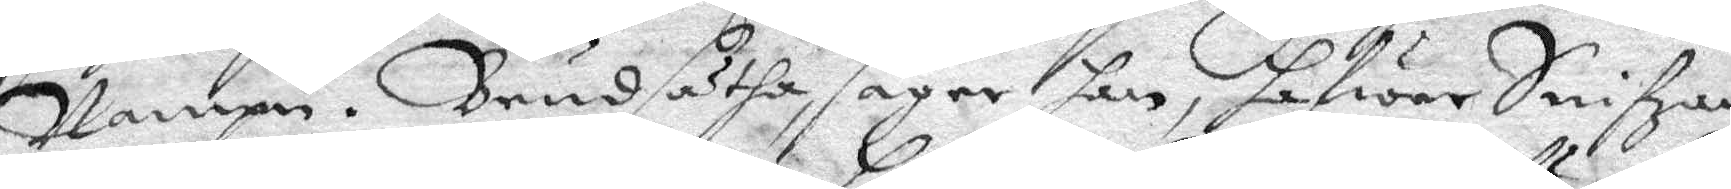Nampn. brudsätha, säger han, hafwer Snifzlan
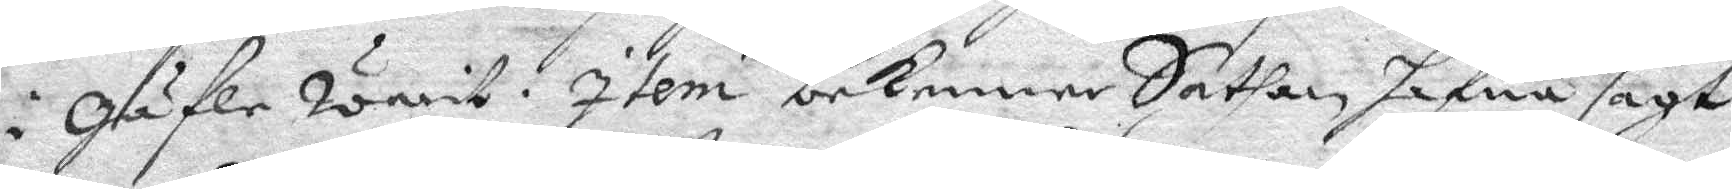i Gäfle warit. Item bekenner Sathan hafwa sagt
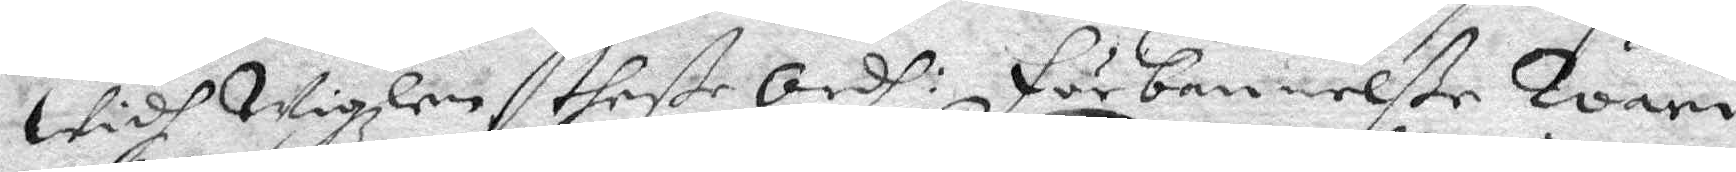Widh Wigzlen theße Ordh: förbannelße Wari
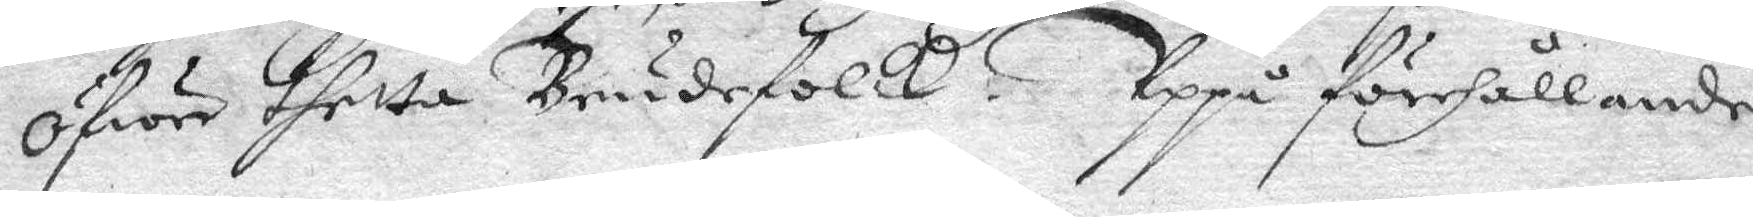öfwer thetta Brudefolck. Uppå förehållande
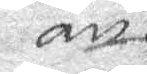att
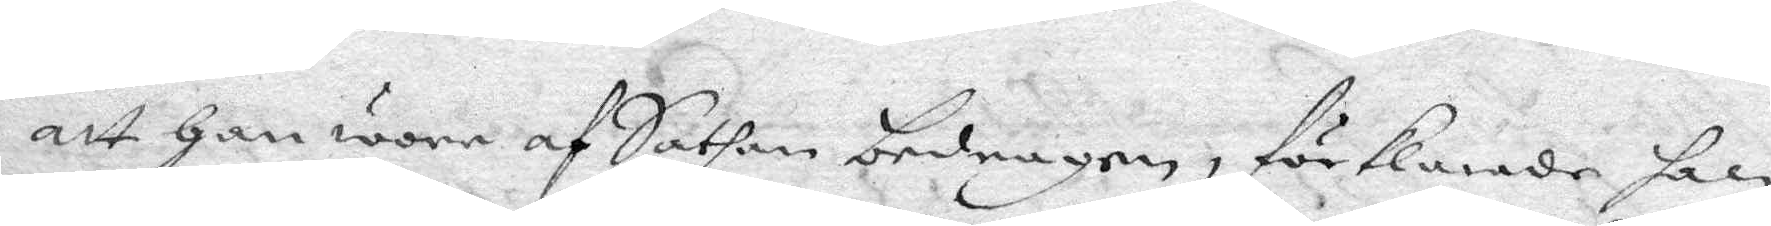att Han wore af Sathan bedragen, förklarade han
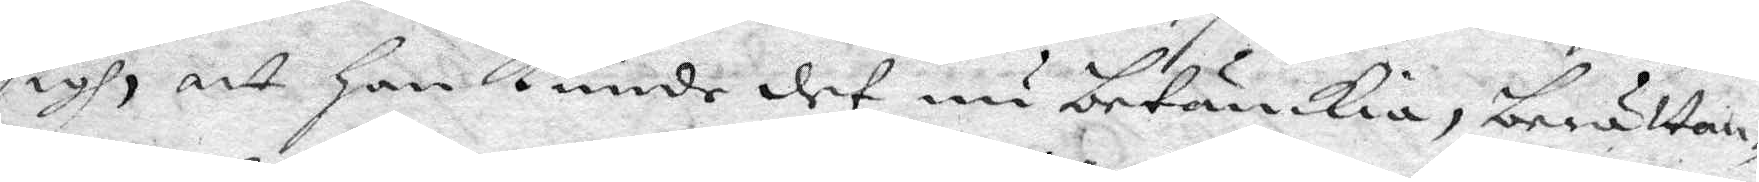sigh, att Han kunde det nu betänkia, berättan¬
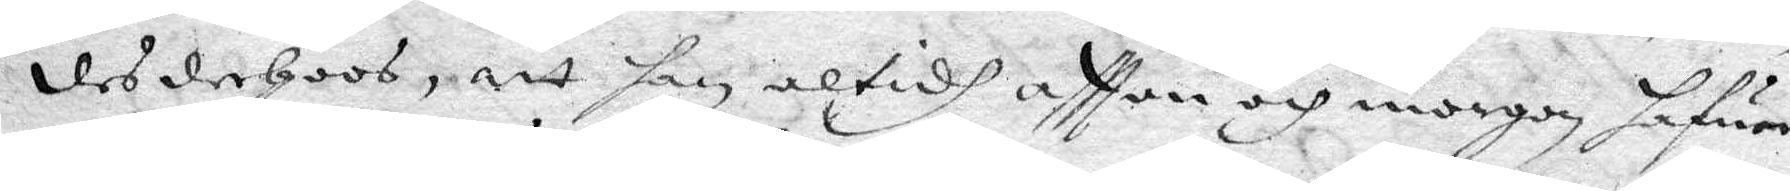des derHoos, att han altidh aftton och morgon hafwer
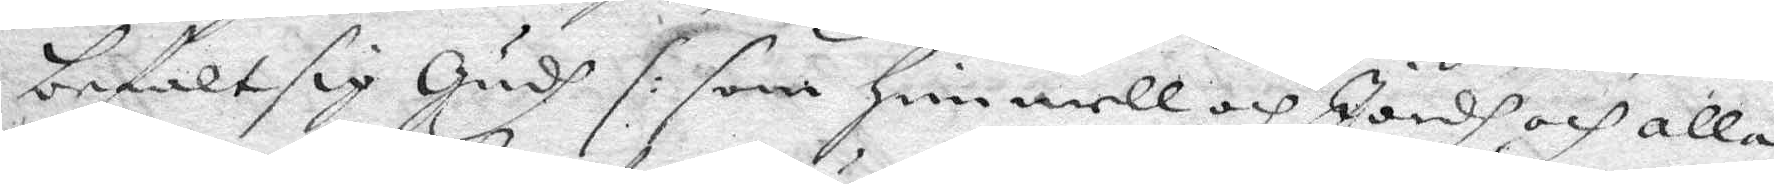befalt sig Gudh /: som Himmell och Jordh och alla
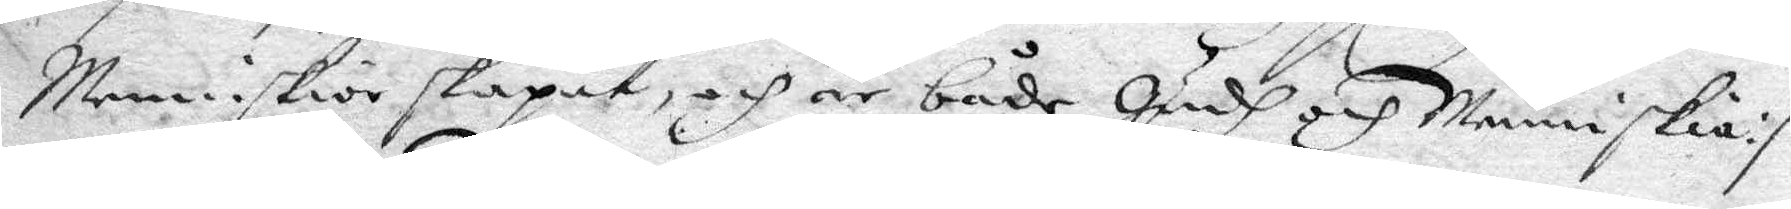Menniskior skapat, och är både Gudh och menniskia :/
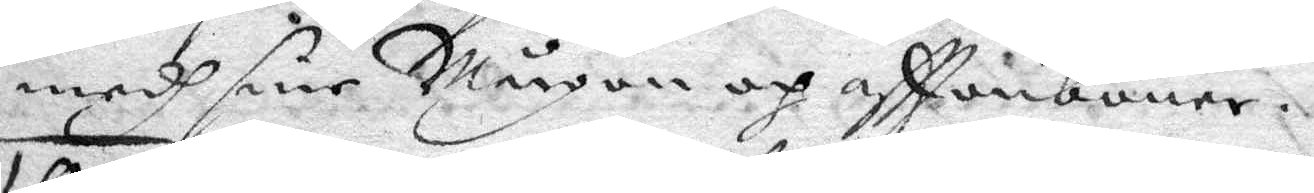medh sine Mårgon och afttenbuner.
